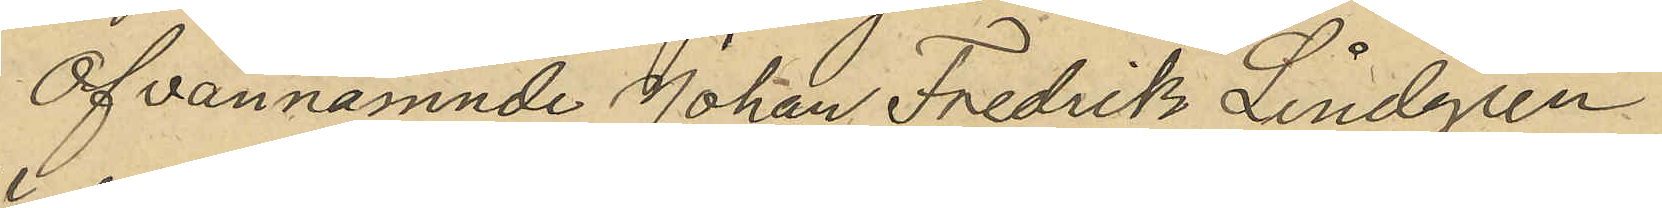Ofvannämnde Johan Fredrik Lindgren
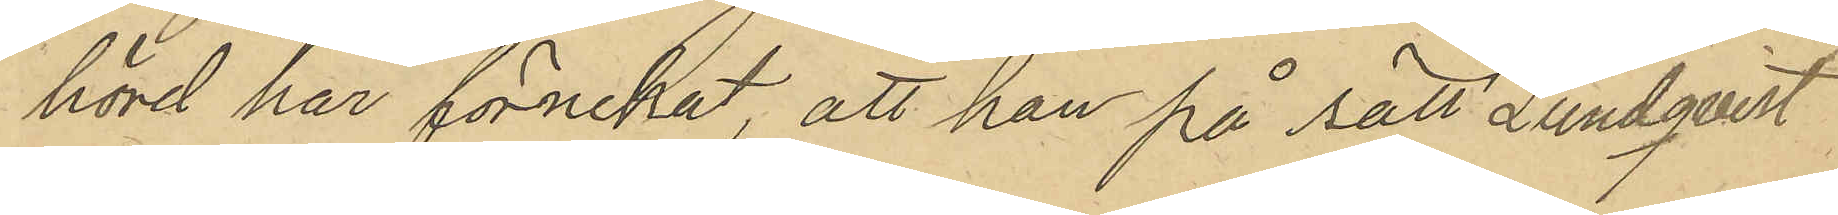hörd har förnekat, att han på sätt Lundqvist
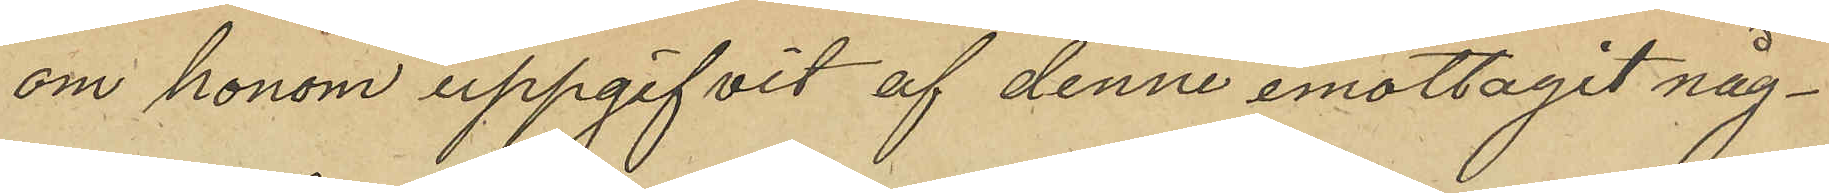om honom uppgifvit af denne emottagit någ¬
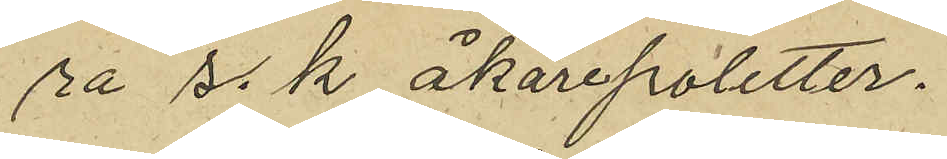ra s. k. åkarepoletter.
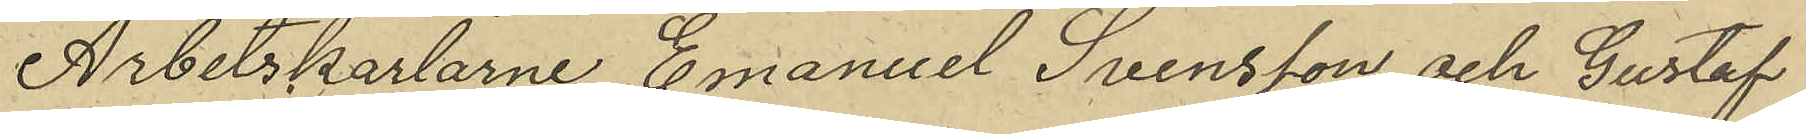Arbetskarlarne Emanuel Svensson och Gustaf
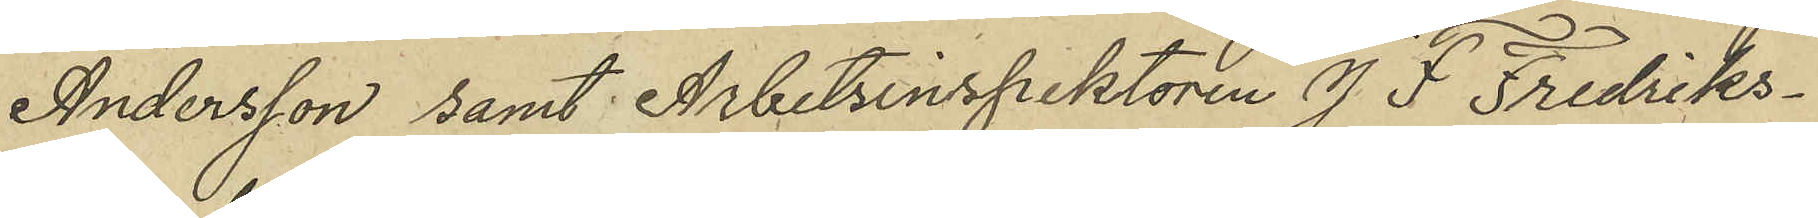Andersson samt Arbetsinspektören J. F. Fredriks¬
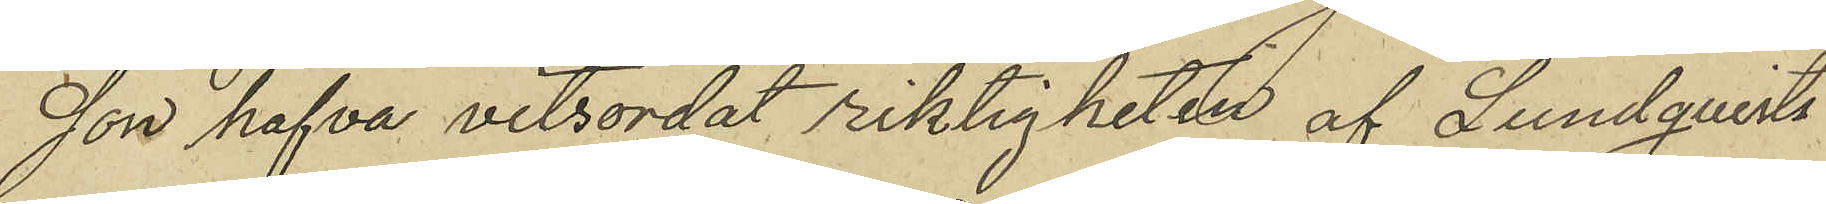son hafva vitsordat riktigheten af Lundqvists
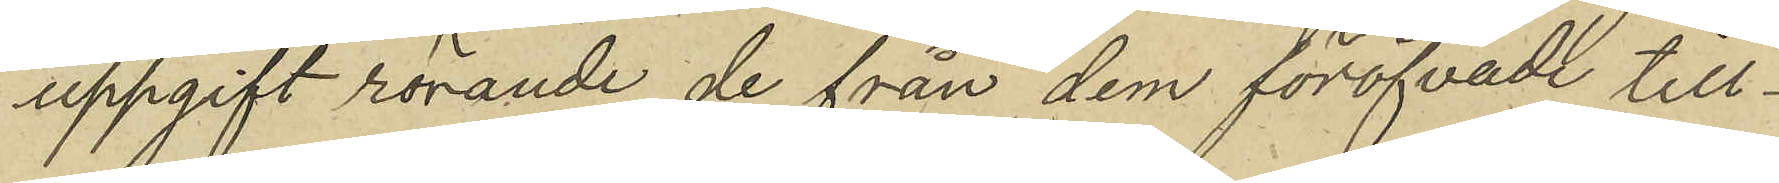uppgift rörande de från dem föröfvade till¬
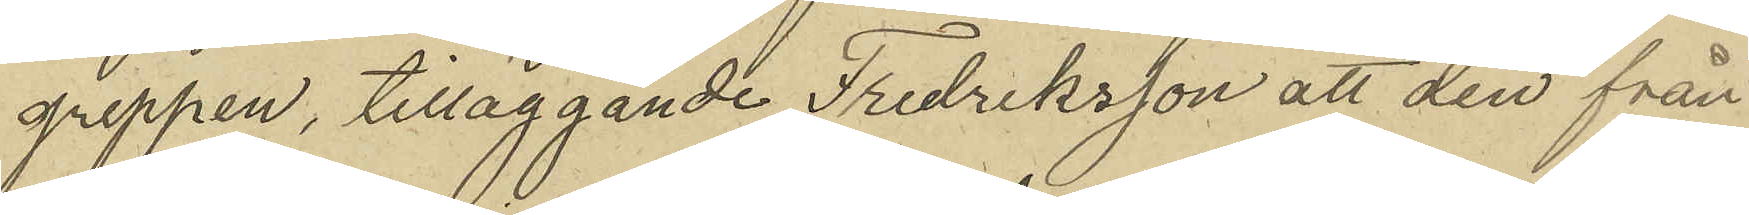greppen, tilläggande Fredriksson att den från
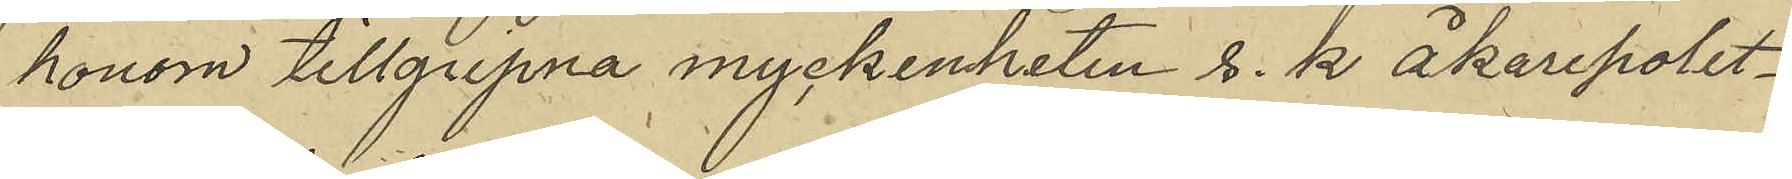honom tillgripne myckenheten s. k. åkarepolet¬
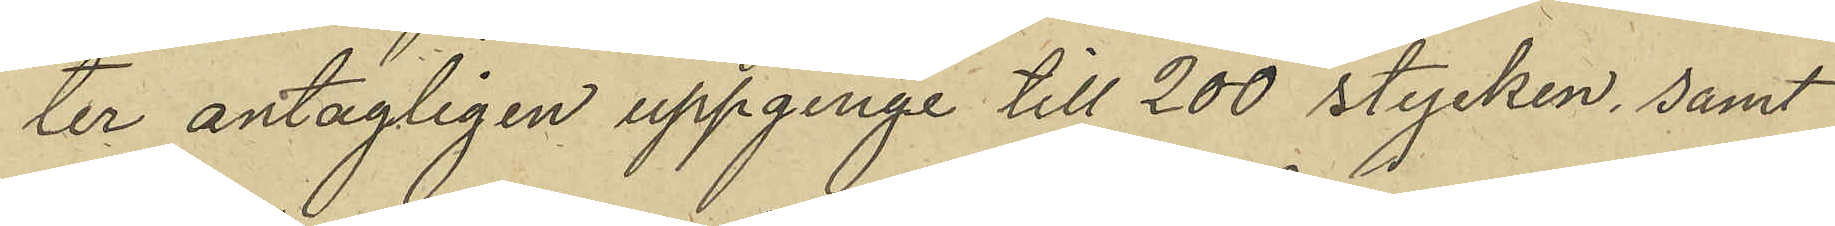ter antagligen uppginge till 200 stycken, samt
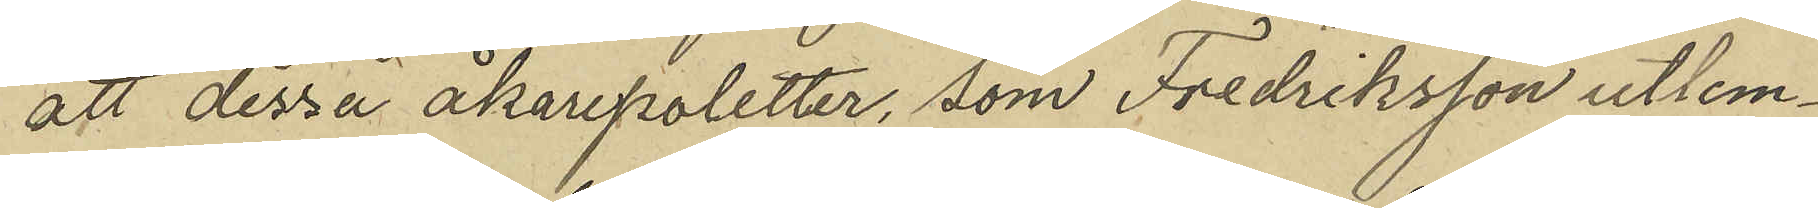att dessa åkarepoletter, som Fredriksson utlem¬
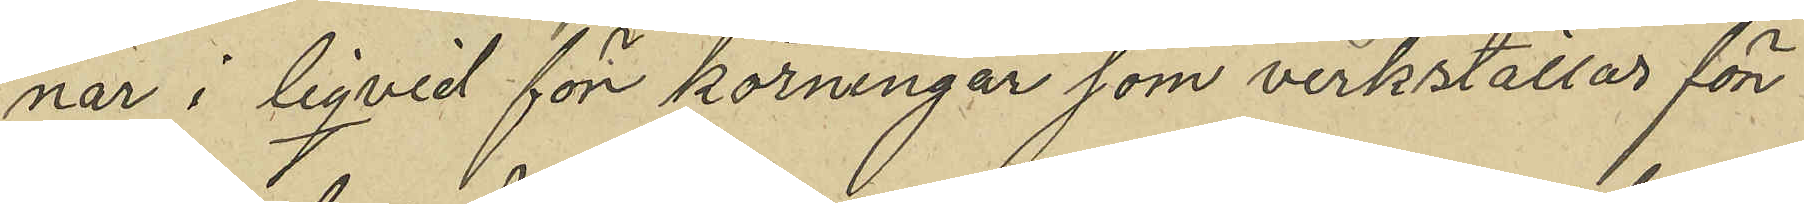nar i liqvid för körningar som verkställas för
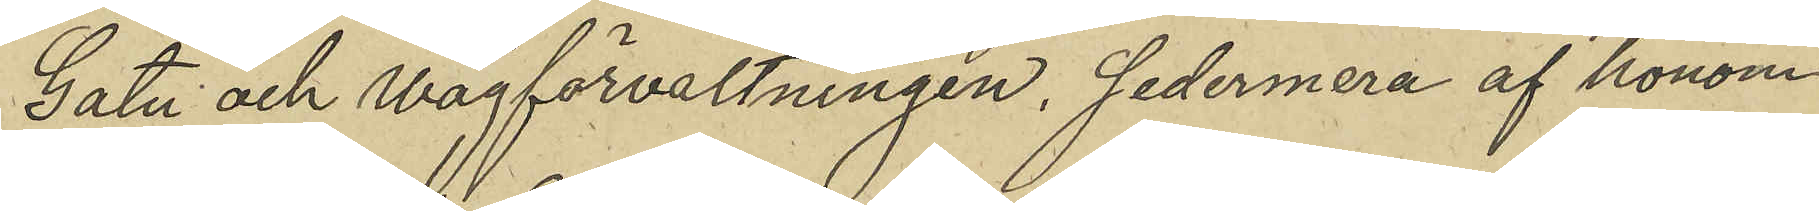Gata och Wägförvaltningen, sedermera af honom
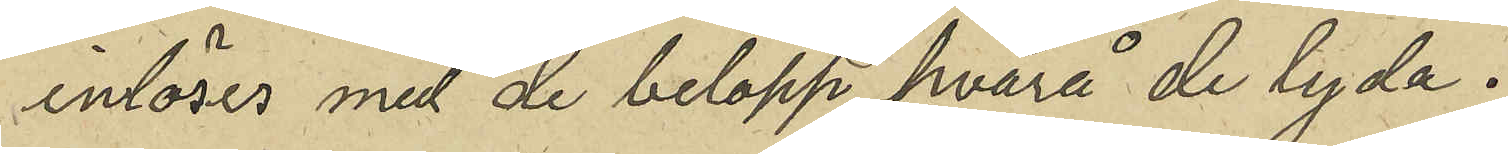inlöses med de belopp hvarå de lyda.
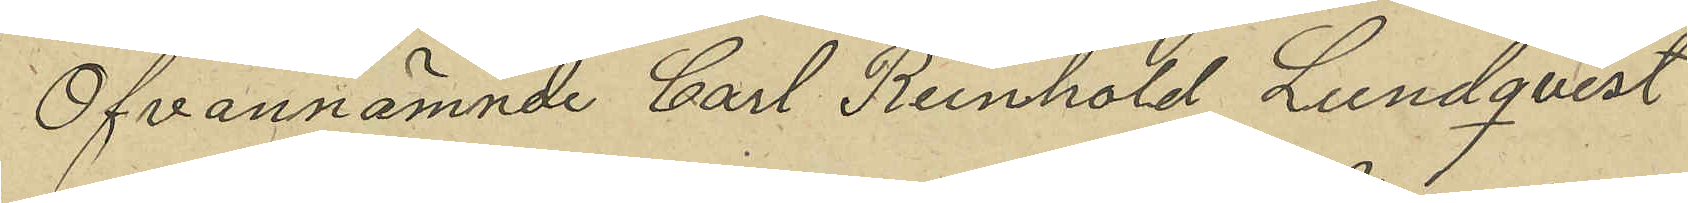Ofvannämnde Carl Reinhold Lundqvist
